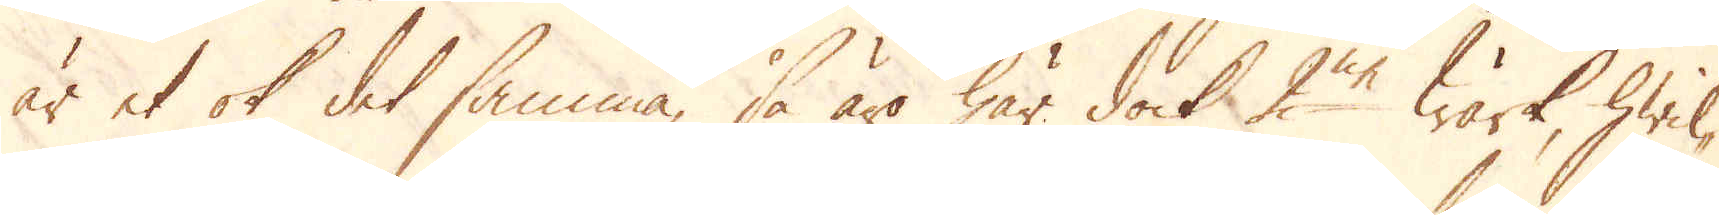är et ok det samma, så äro här dock 2ne Wärk, hwil-
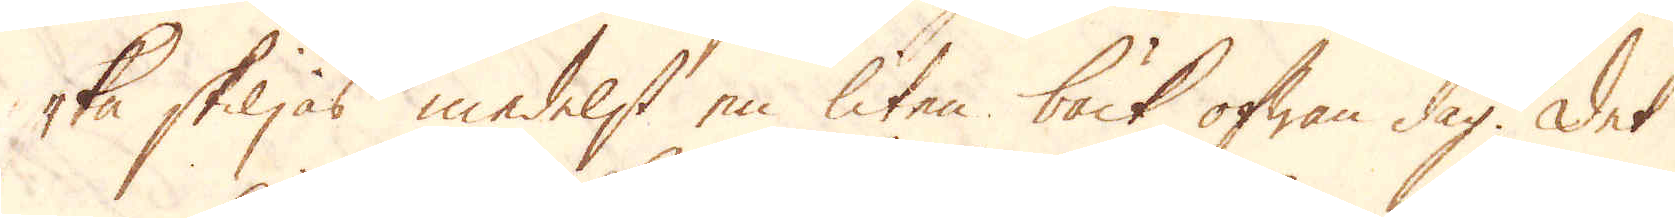ka skiljas medelst en liten bäck ofwan dag. Det
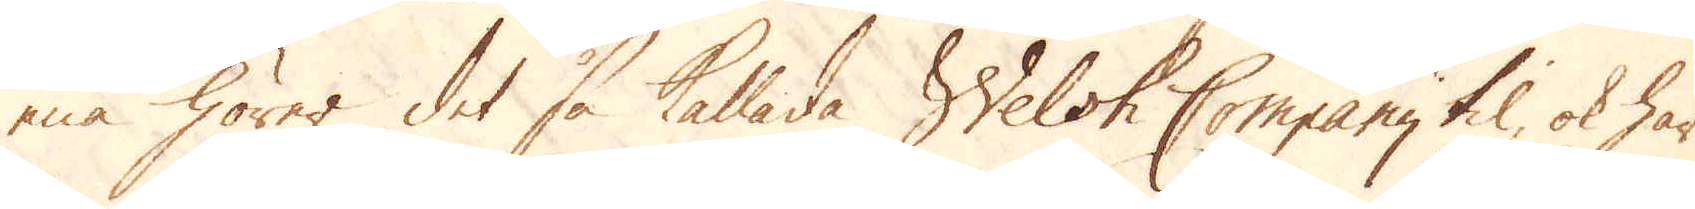ena hörer det så kallade Welsh Company til, ok har
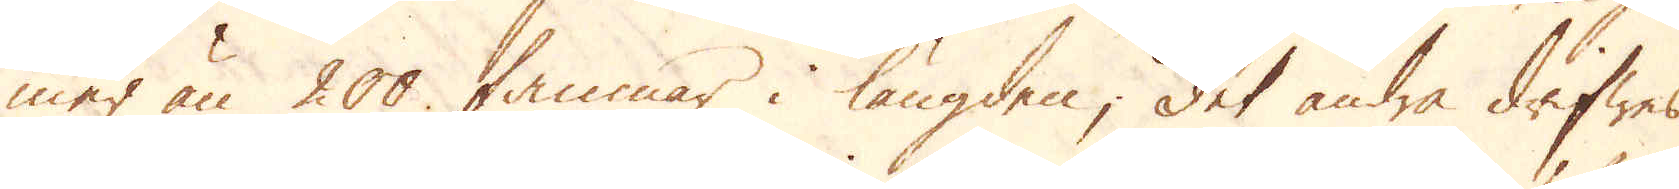mer än 200 famnar i längden; det andra drifwes
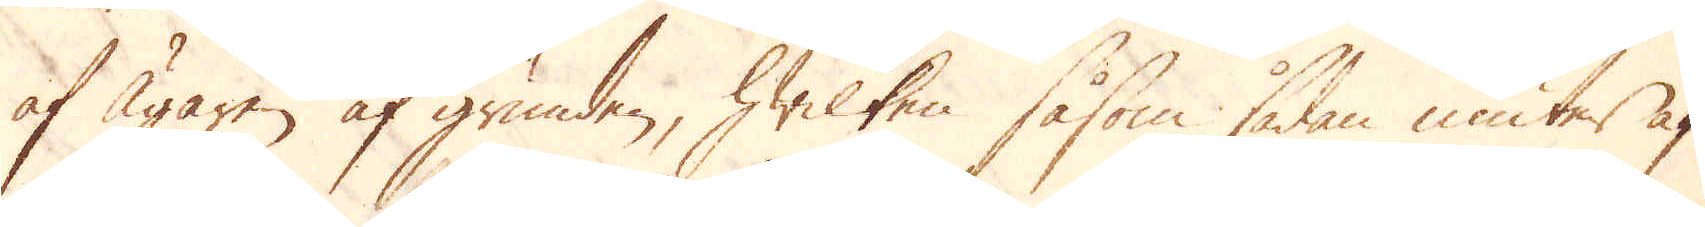af Ägaren af grunden, hwilken såsom sådan niuter af
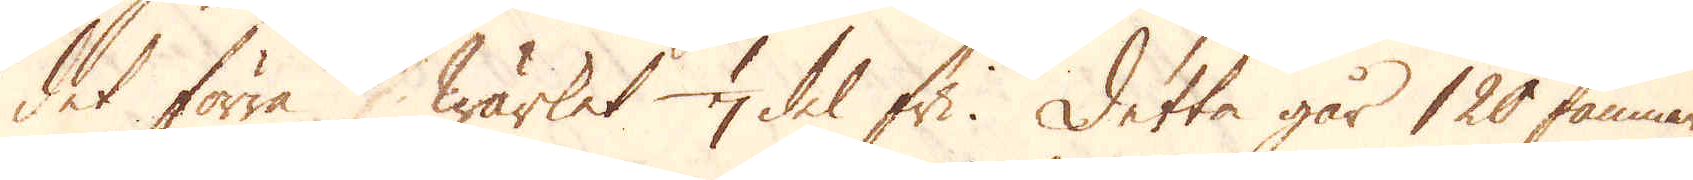det förra Wärket 1/7 del fri. Detta går 120 famnar
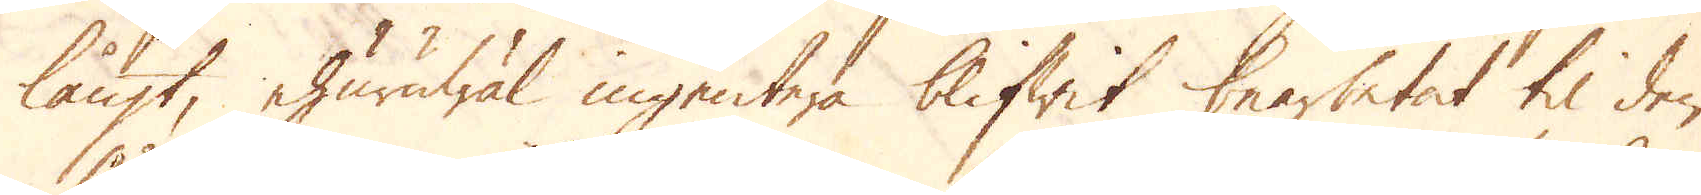långt, ehuruwäl ingentera blifwit bearbetat til den
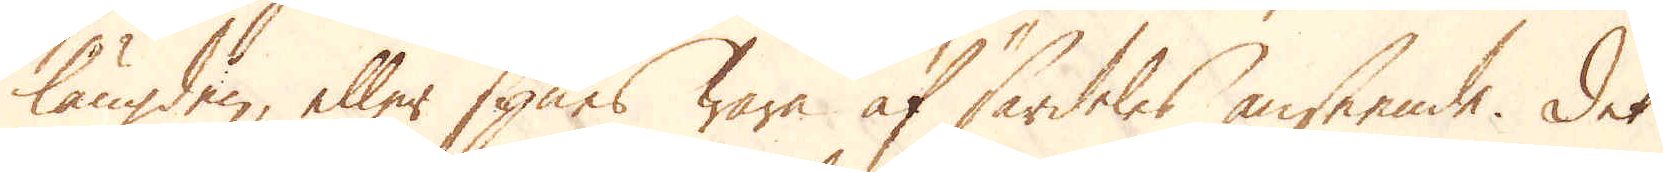längden, eller synes wara af särdeles anseende. Det
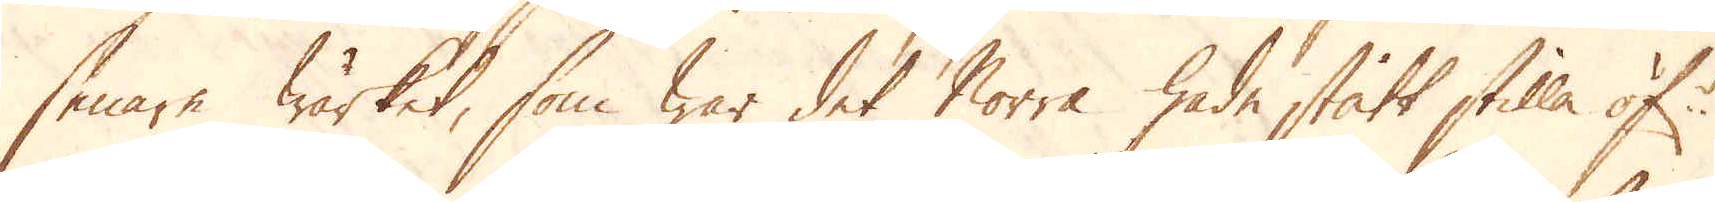senare wärket, som war det Norra hade stått stilla öf:r
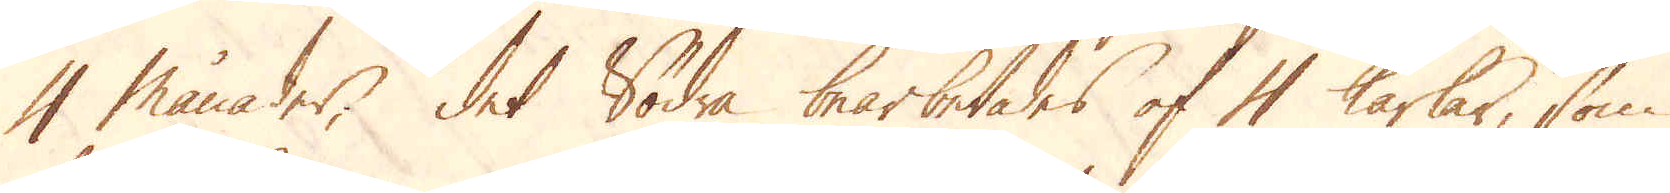4 månader; det Södra bearbetades af 4 karlar, som
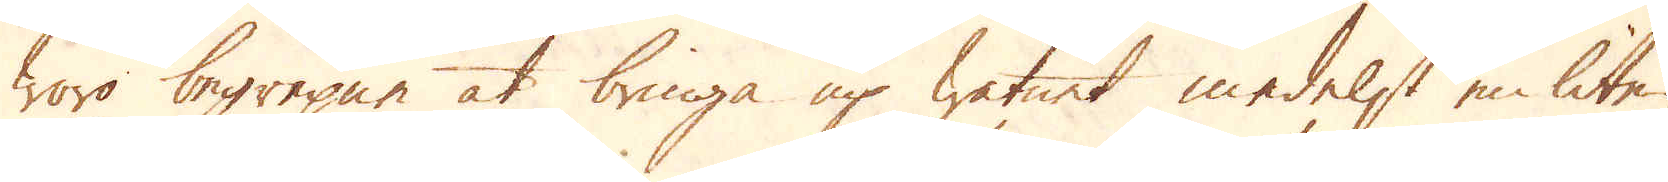woro begrepne at bringa up watnet medelst en liten
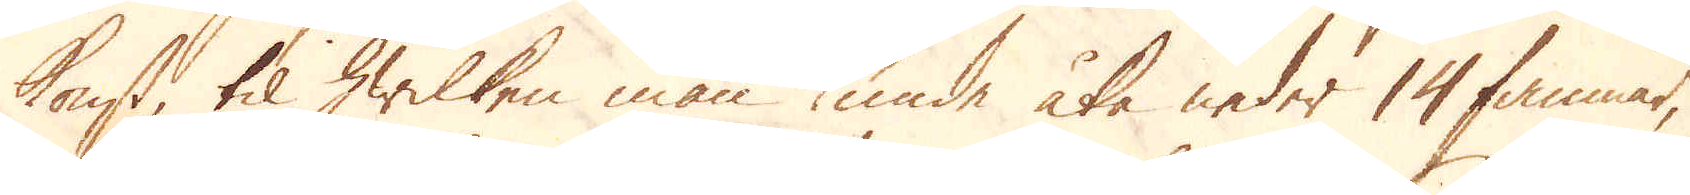konst, til hwilken man kunde åka neder 14 famnar,
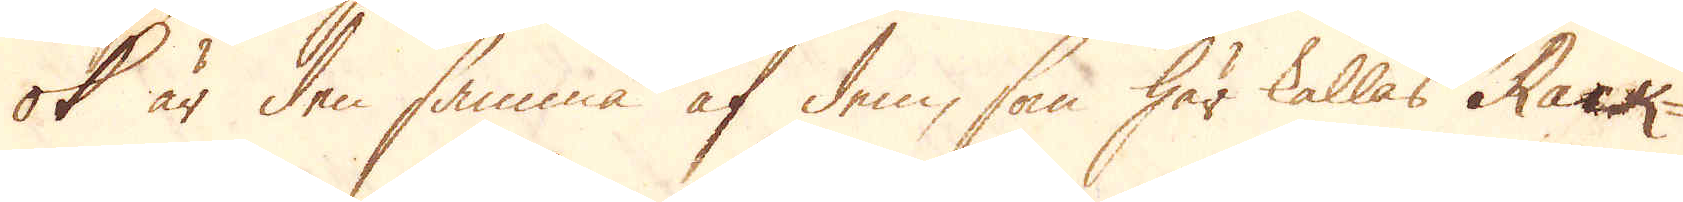ok är den samma af dem, som här kallas Rack-
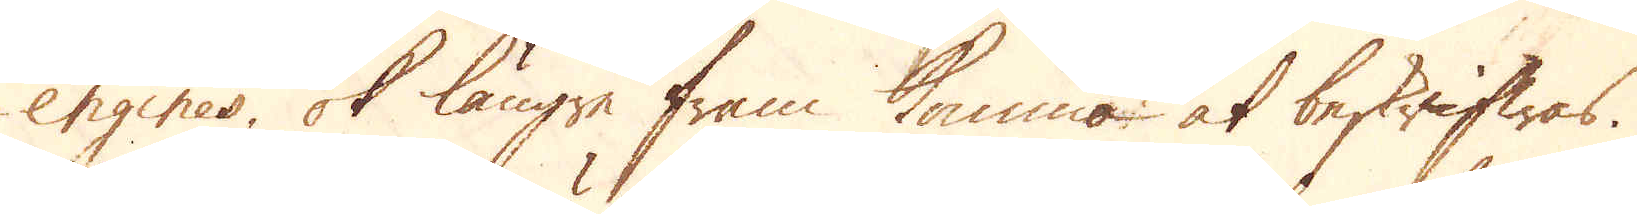engines, ok längre fram komma at beskrifwas.
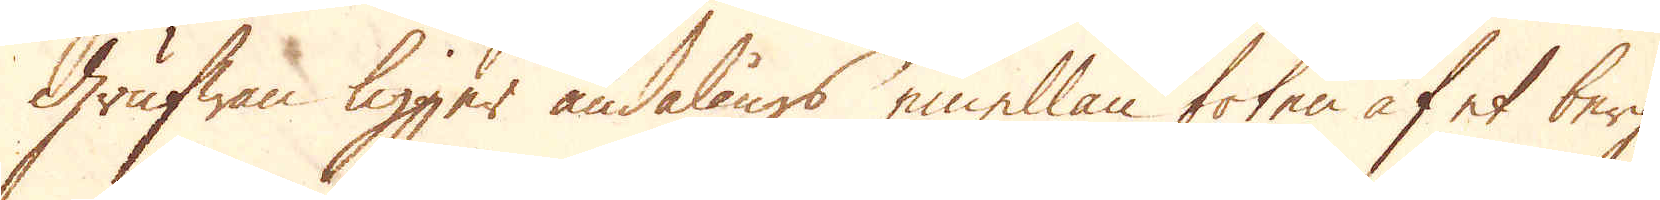Grufwan ligger ändalångs emellan foten af et berg
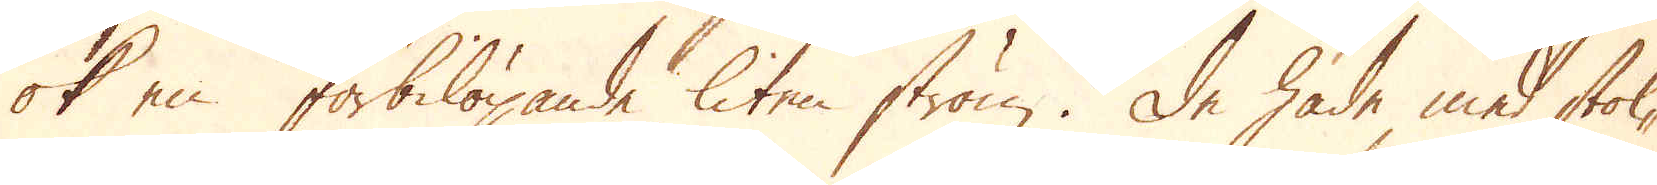ok en förbilöpande liten ström. De hade med stol-
